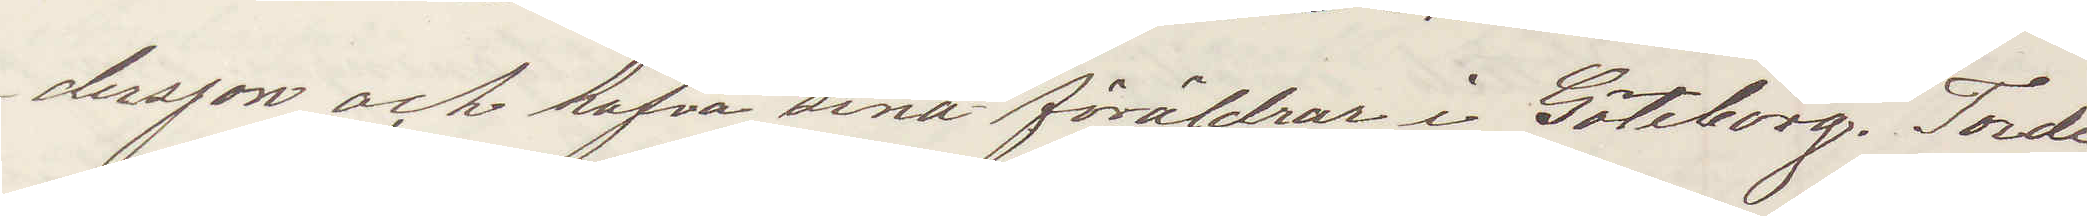dersson och hafva sina föräldrar i Göteborg. Torde
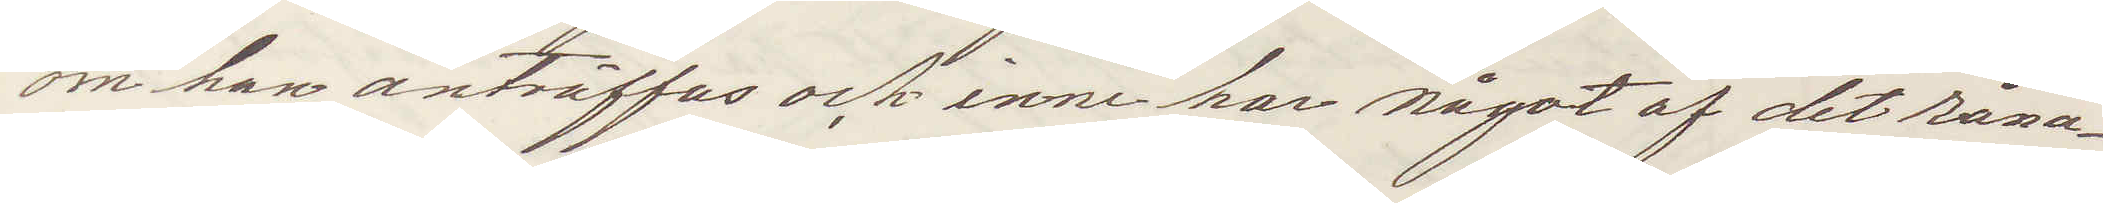om han anträffas och innehar något af det råna¬
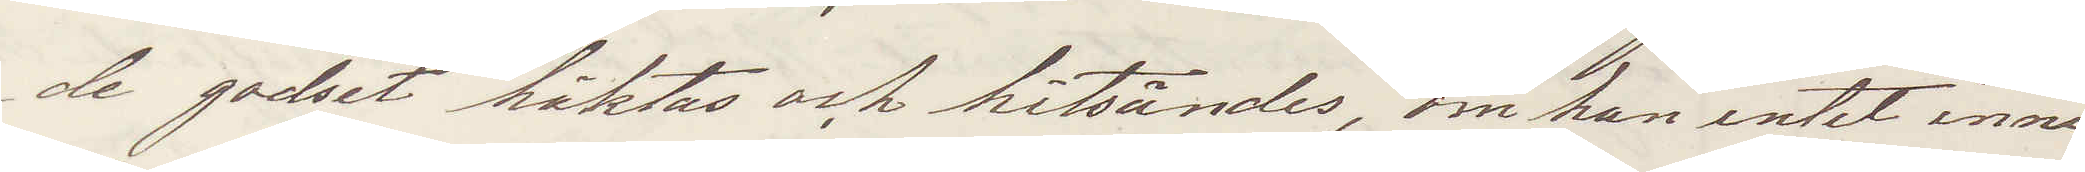de godset häktas hitsändas, om han intet inne¬
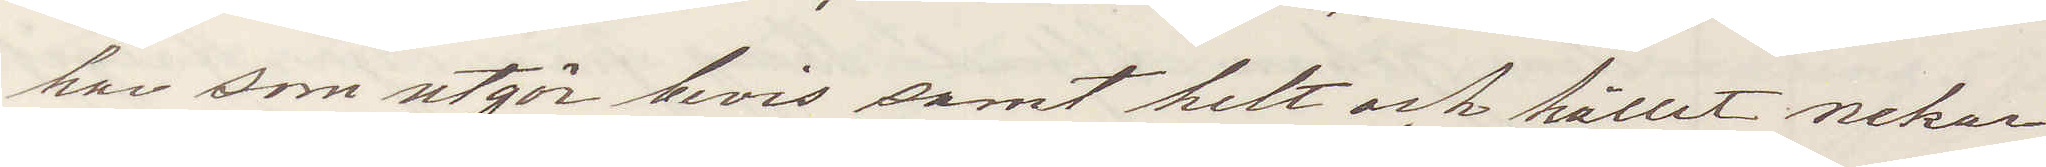har som utgör bevis samt helt och hållet nekar
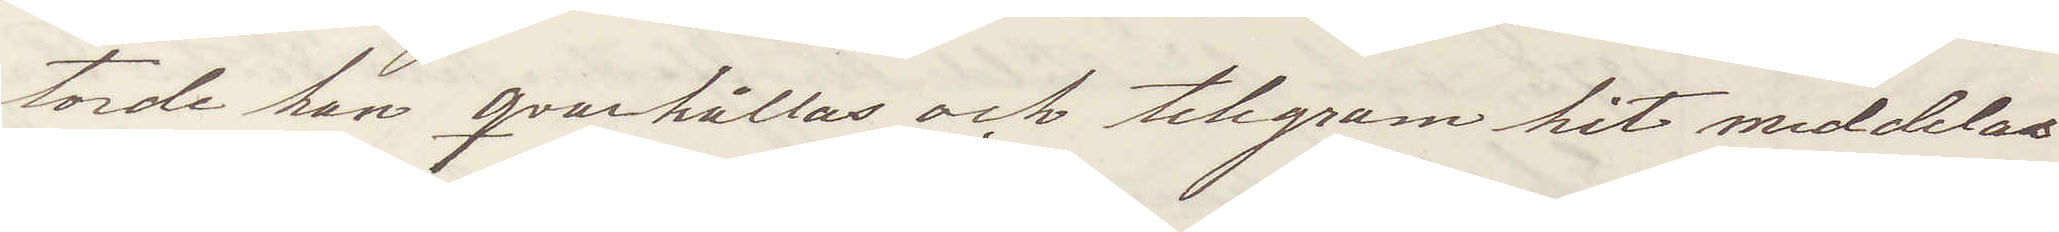torde han qvarhållas och telegram hit meddelas
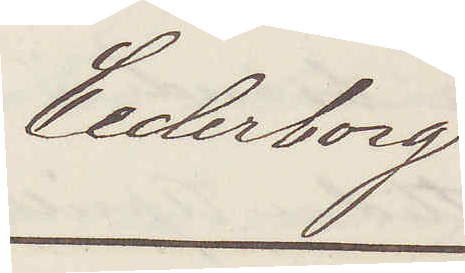Cederborg
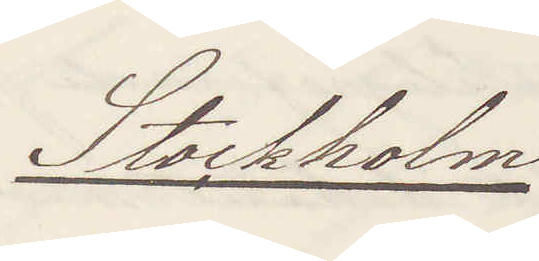Stockholm
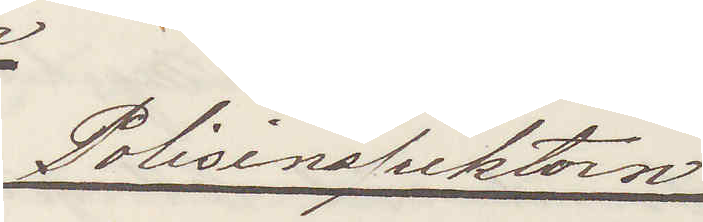Polisinspektorn
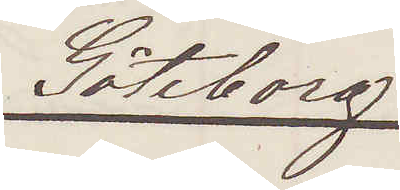Göteborg
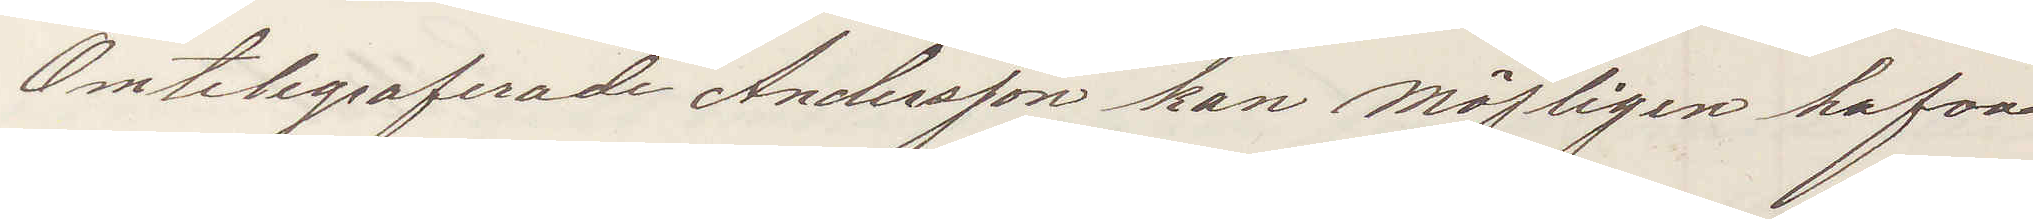Omtelegraferade Andersson kan möjligen hafva
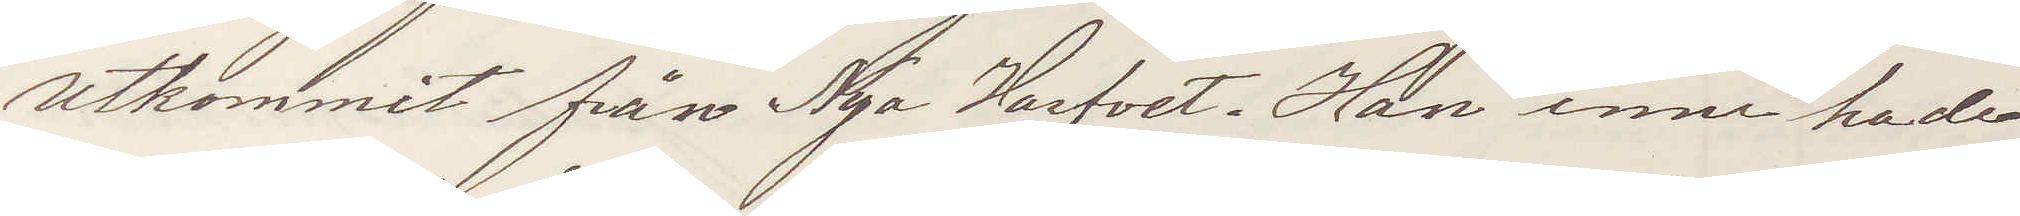utkommit från Nya Varfvet. Han innehade
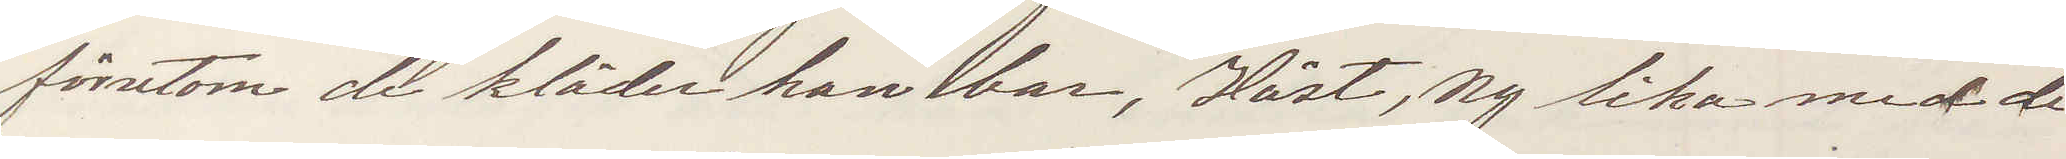förutom de kläder han bar, Väst, Ny lika med de
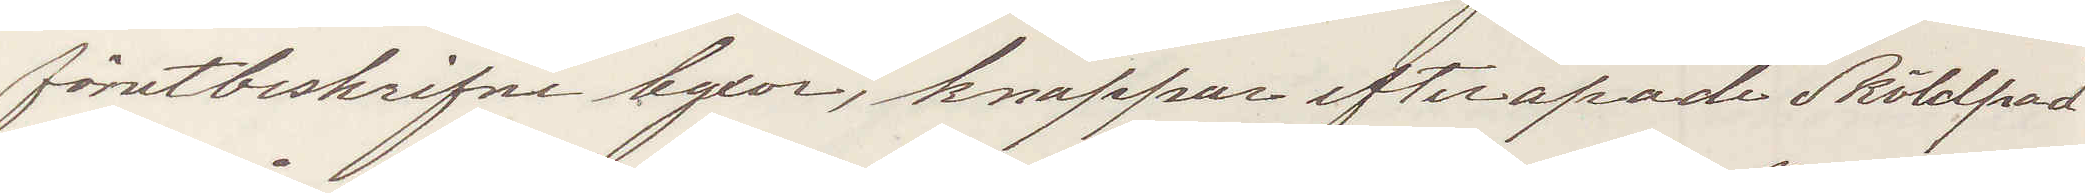förutbeskrifne byxor, knappar efterapade Sköldpad
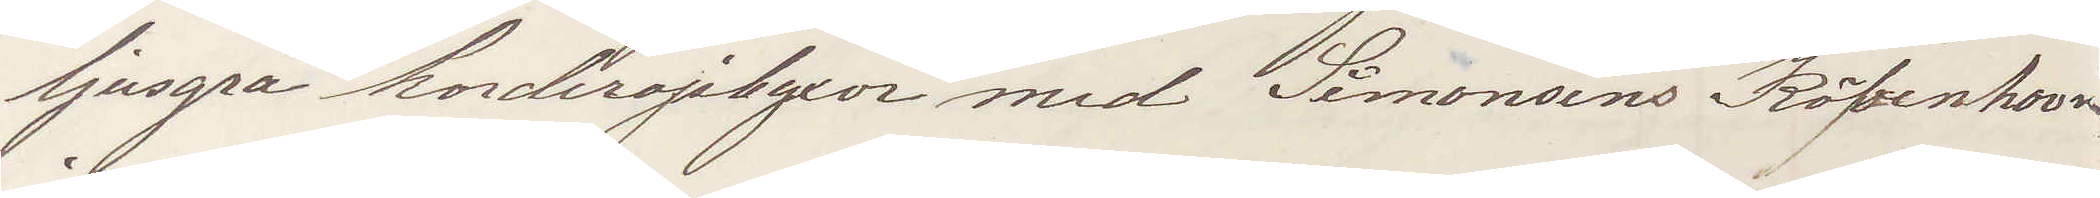ljusgrå korderojsbyxor med Simonsens Köpenhavn
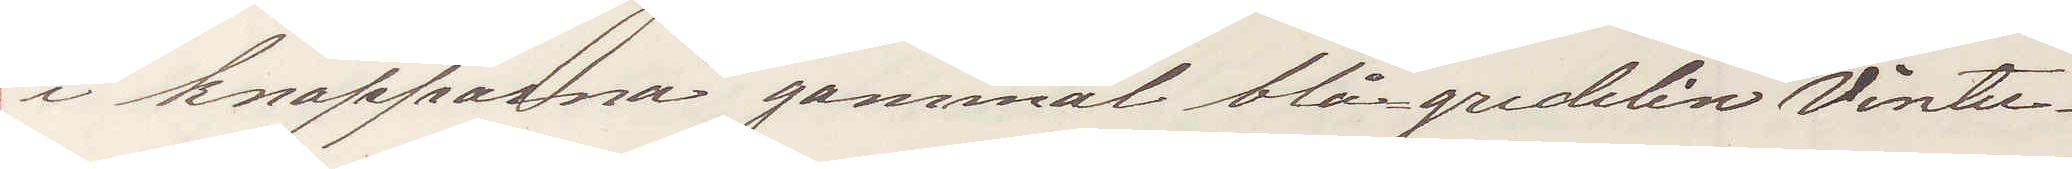i knapparna gammal blågredelin Vinter¬
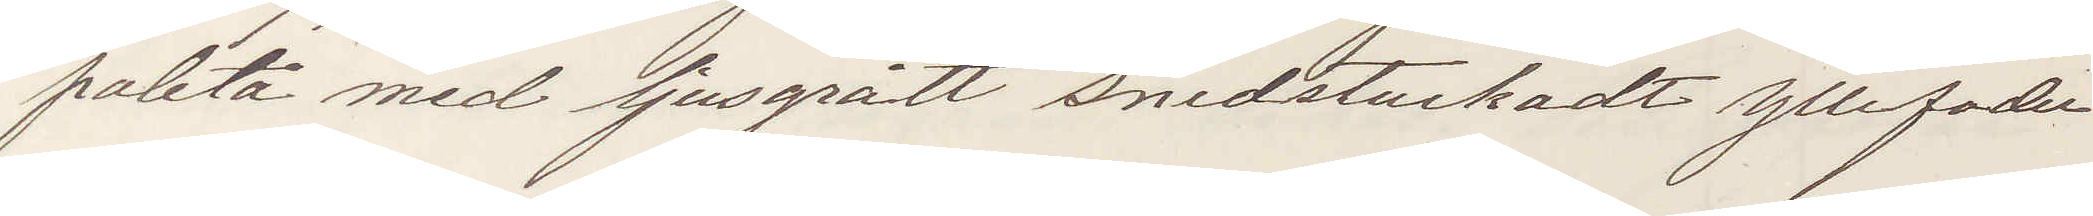paletå med ljusgrått snedstuckadt Yllefoder
